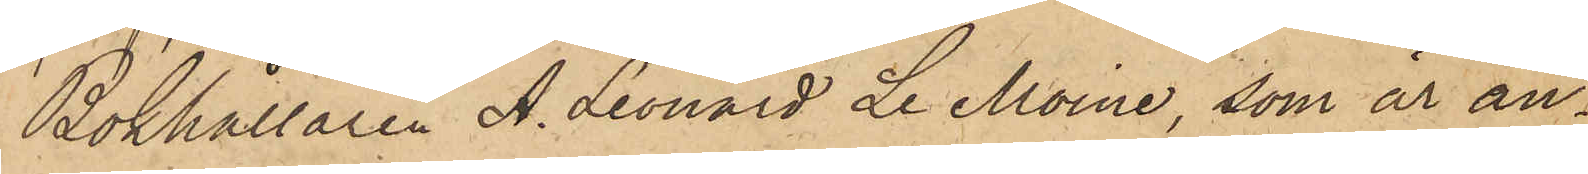Bokhållaren A. Leonard Le Moine, som är an¬
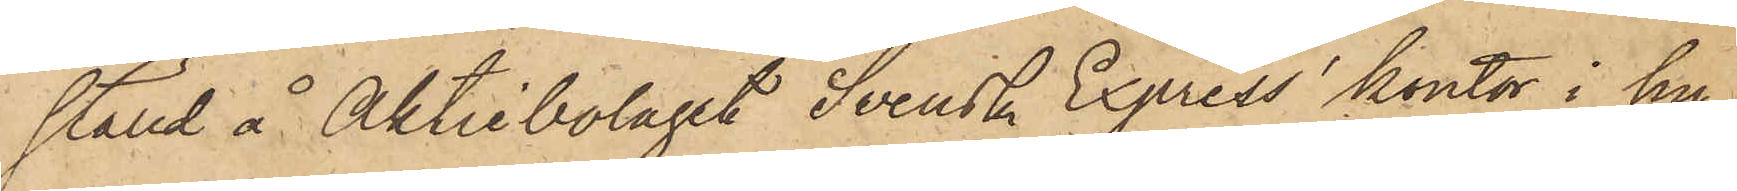ställd å Aktiebolaget Svensk Express' kontor i hu¬
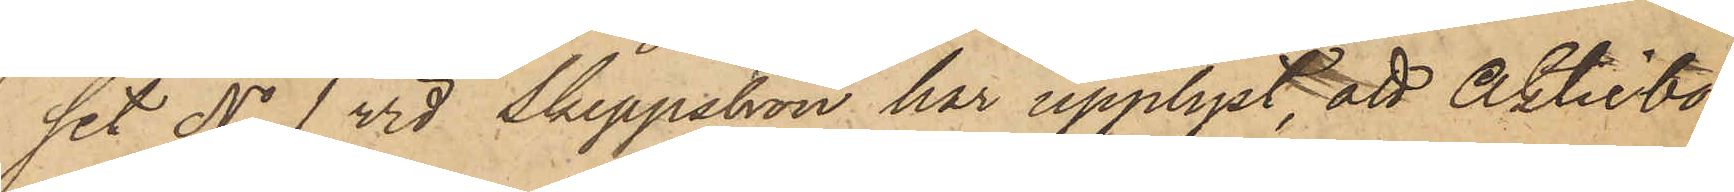set No 1 vid Skeppsbron har upplyst, att Aktiebo¬
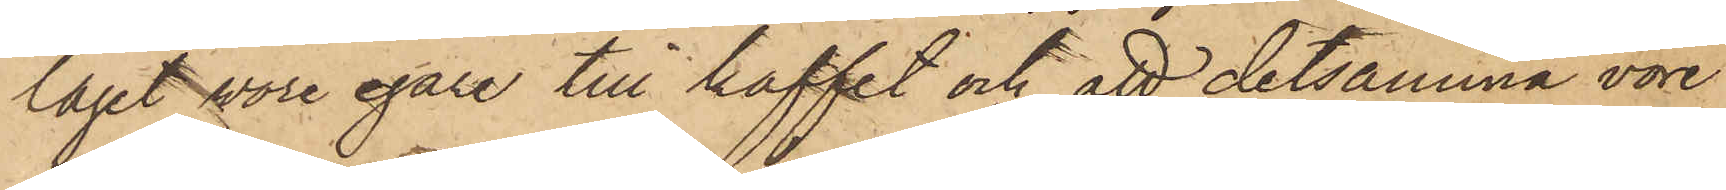laget vore egare till kaffet och att detsamma vore
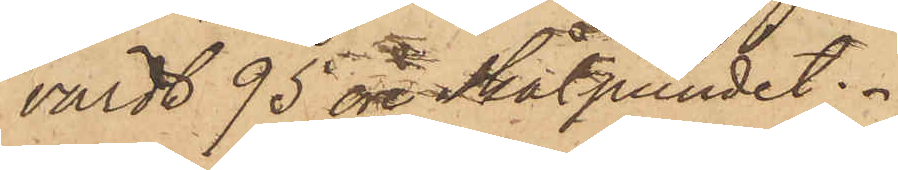värdt 95 öre skålpundet.
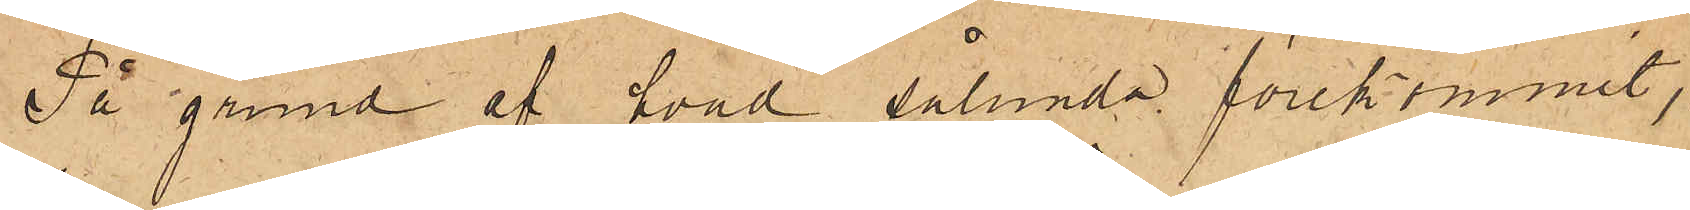På grund af hvad sålunda förekommit,
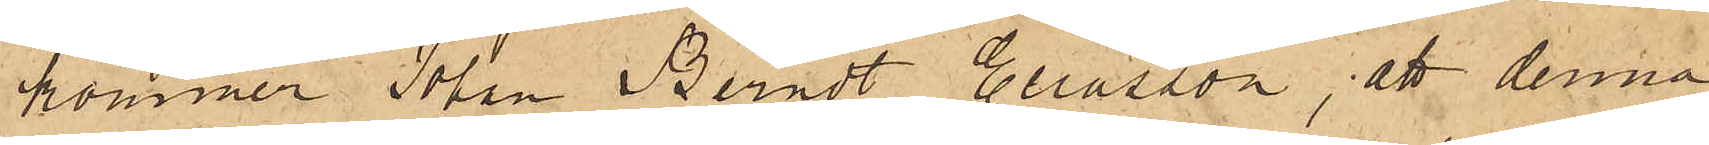kommer Johan Berndt Eliasson, att denna
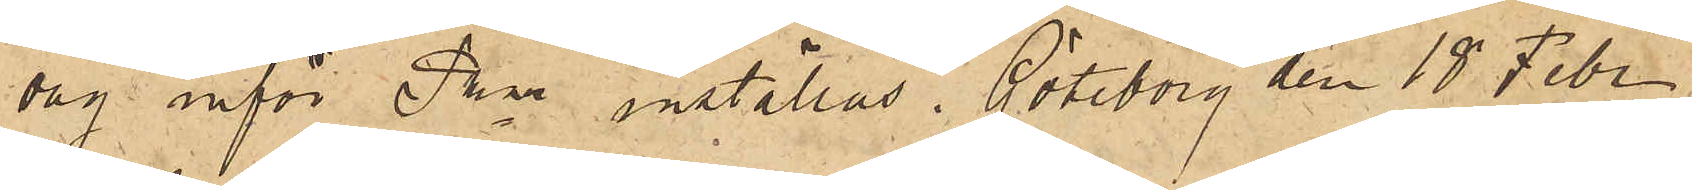dag inför Pkn inställas. Göteborg den 18 Febr
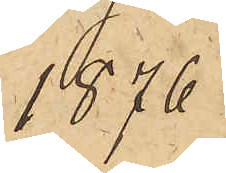1876.
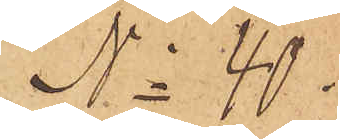No 40.
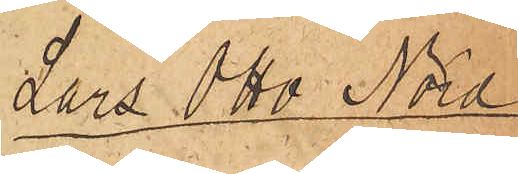Lars Otto Nord¬
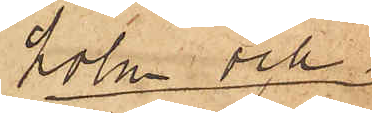holm och
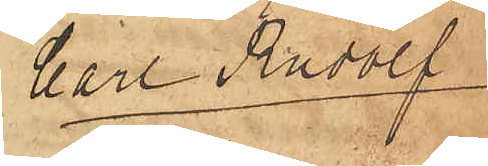Carl Rudolf
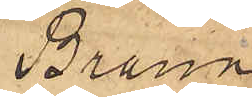Brann
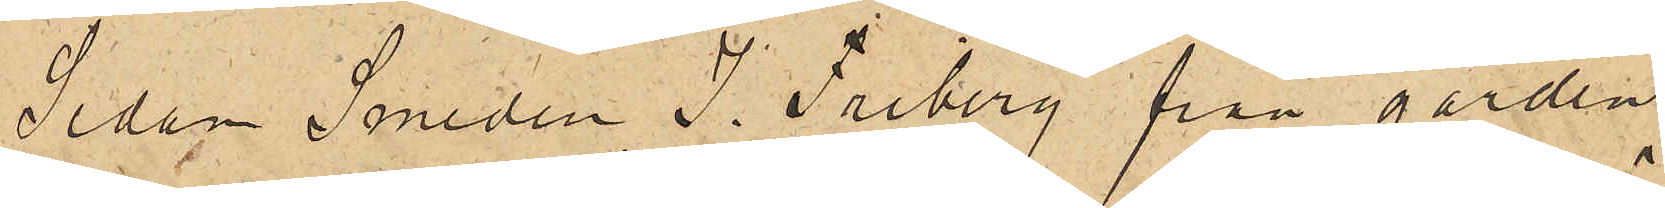Sedan Smeden J. Friberg från gården
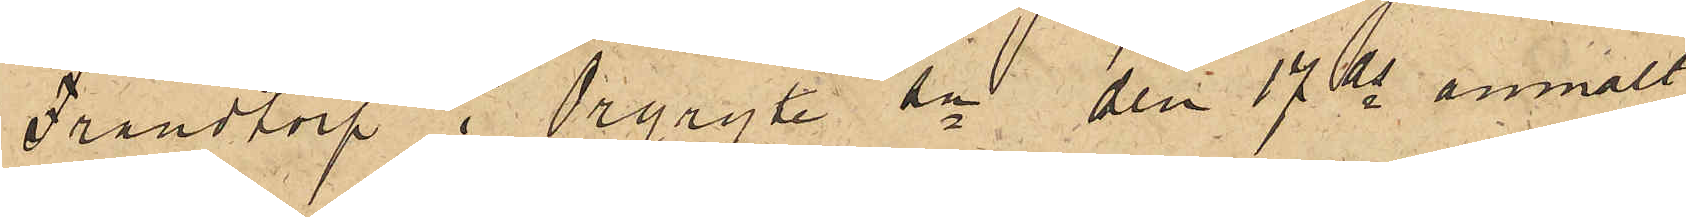Frändtorp i Örgryte sn den 17 ds anmält,
